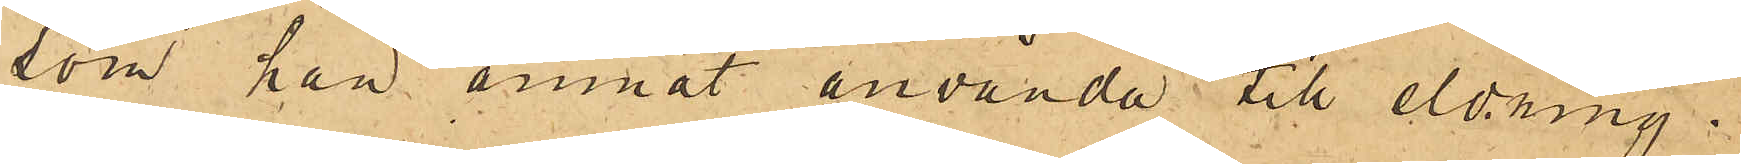som han ämnat använda till eldning.
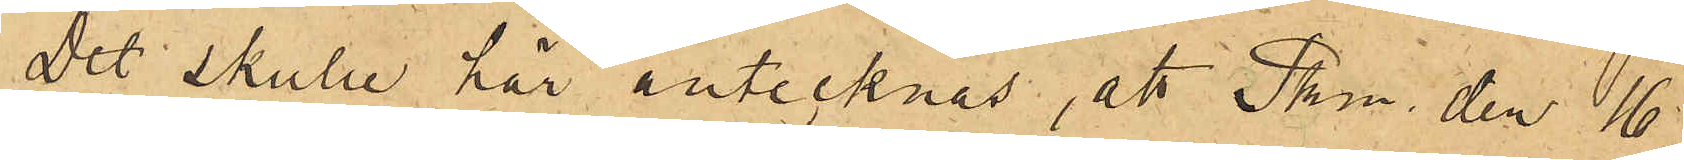Det skulle här antecknas, att Pkn den 16
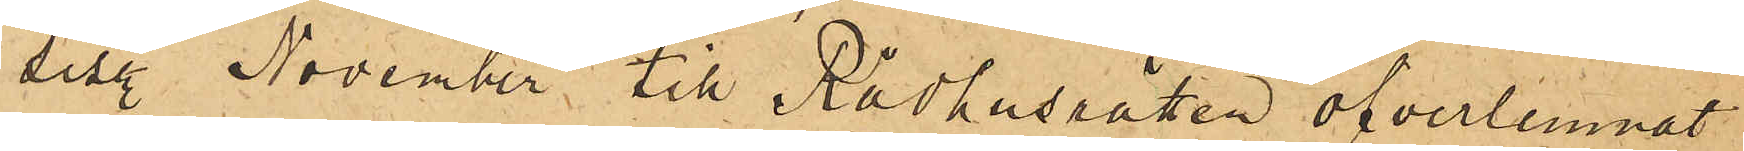sist. November till Rådhusrätten öfverlemnat
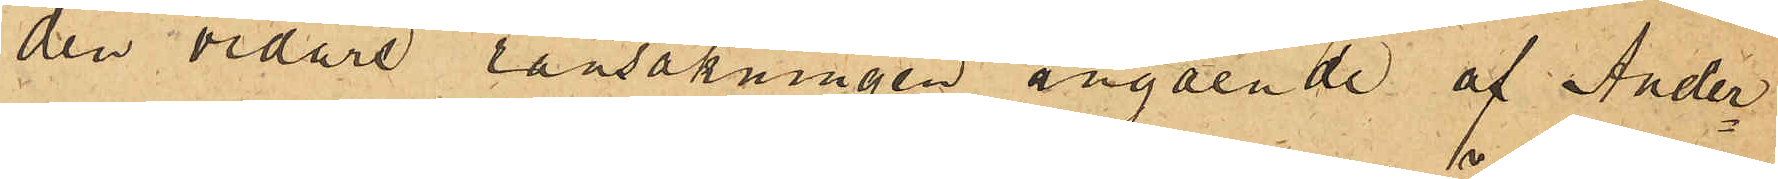den vidare ransakningen angående af Ander¬
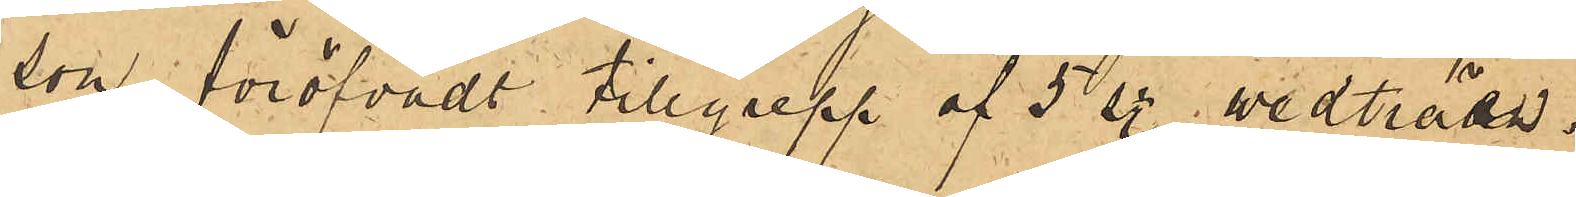son föröfvadt tillgrepp af 5 sty. wedträn.
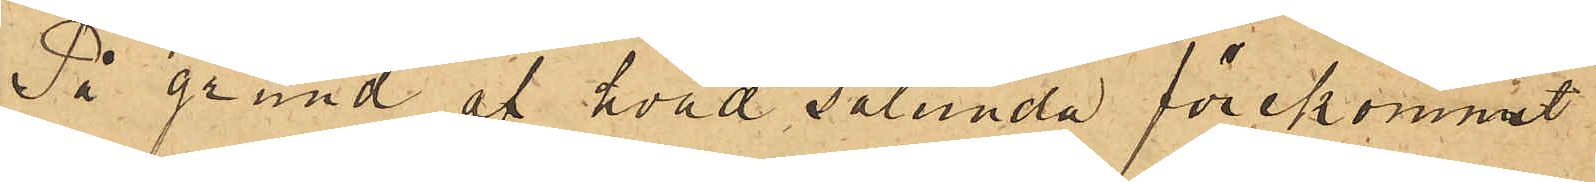På grund af hvad sålunda förekommit,
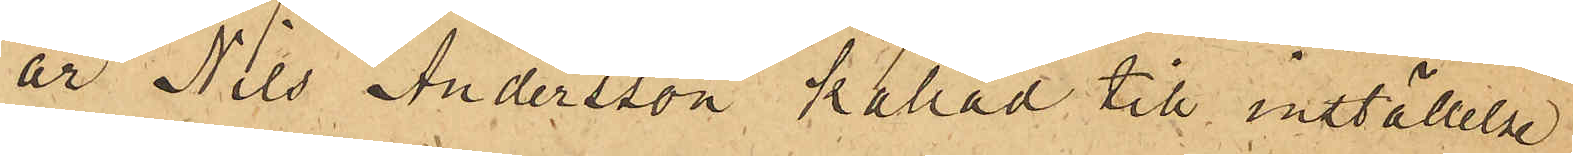är Nils Andersson kallad till inställelse
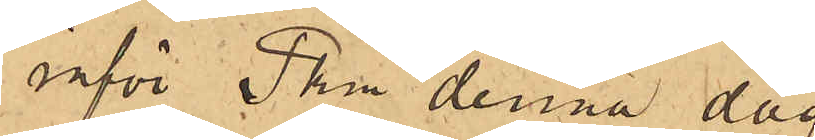inför Pkn denna dag
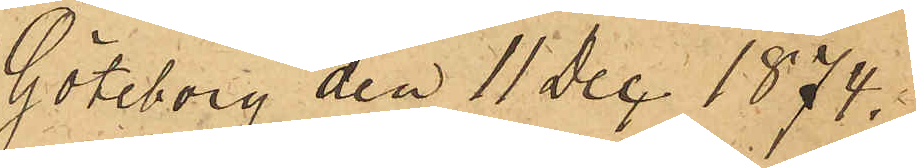Göteborg den 11 Dec 1874.
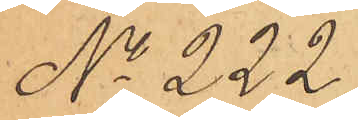No 222
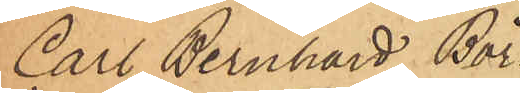Carl Bernhard Bör¬
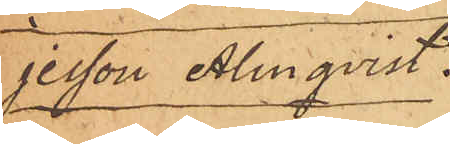jesson Almqvist.
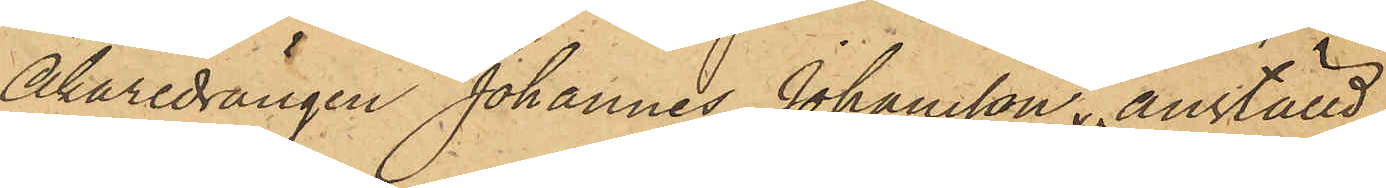Åkaredrängen Johannes Johansson, anställd
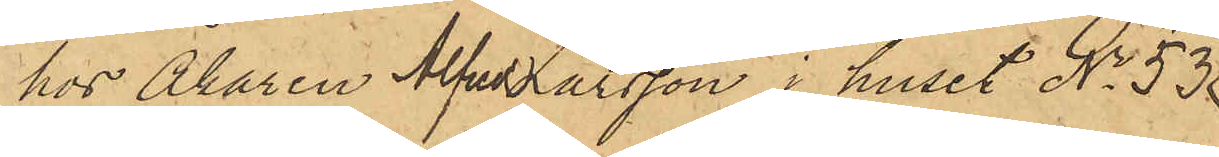hos Åkaren Alfred Larsson i huset No 53
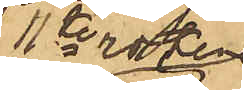11te roten
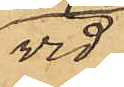vid
